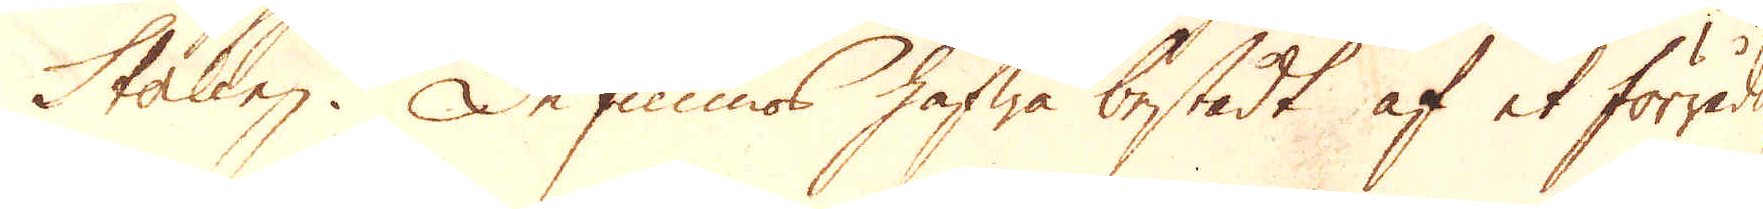Sterling. De funnos hafwa bestådt af et förråds
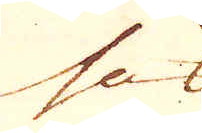hus
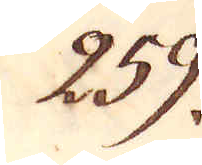259.
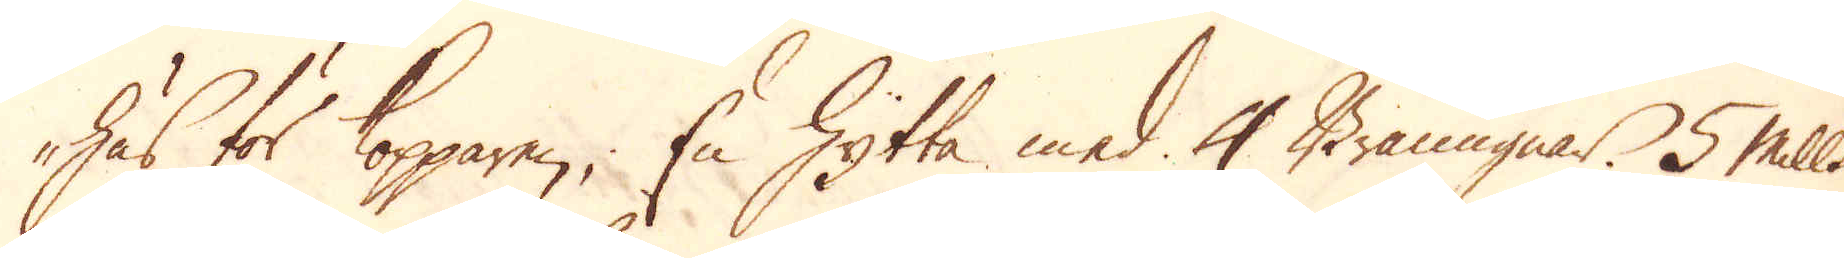hus för Kopparen; En Hytta med 4 Bränugnar. 5 Mills
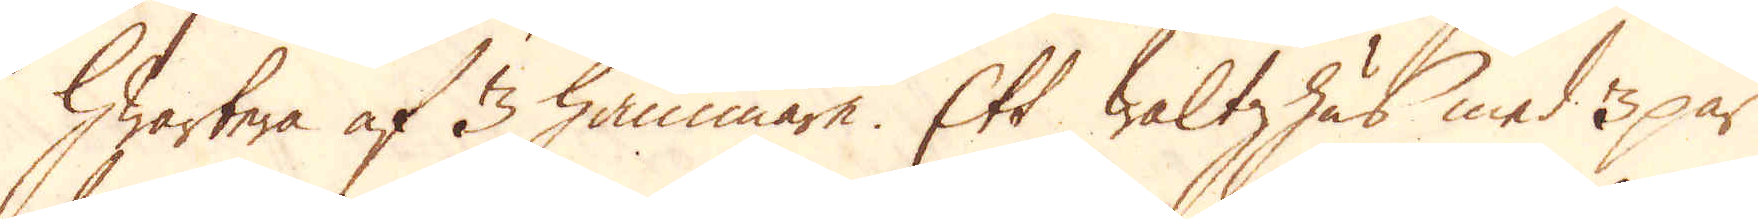hwartera af 3 hammare. Ett waltzhus med 3 par
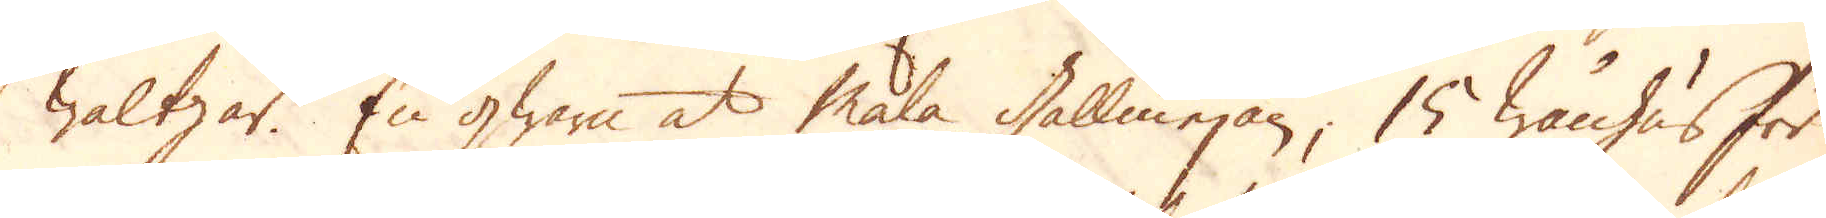Waltzar. En qwarn at mala gallmejan, 15 wånhus för
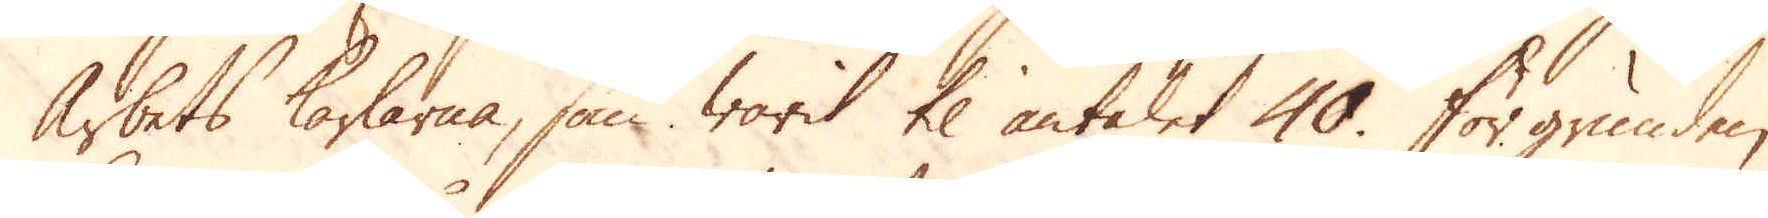Arbetskarlarna, som warit til antalet 40. För grunden
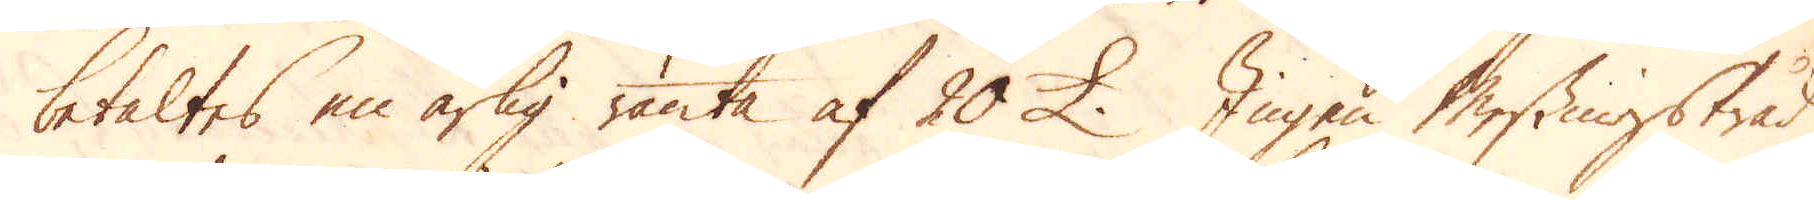betaltes en årlig ränta af 20 £. Ingen Messingstråd
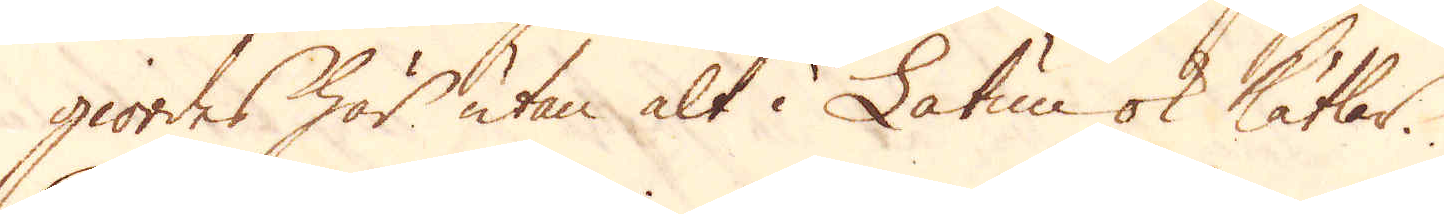giordes här utan alt i Latun ok kätlar.
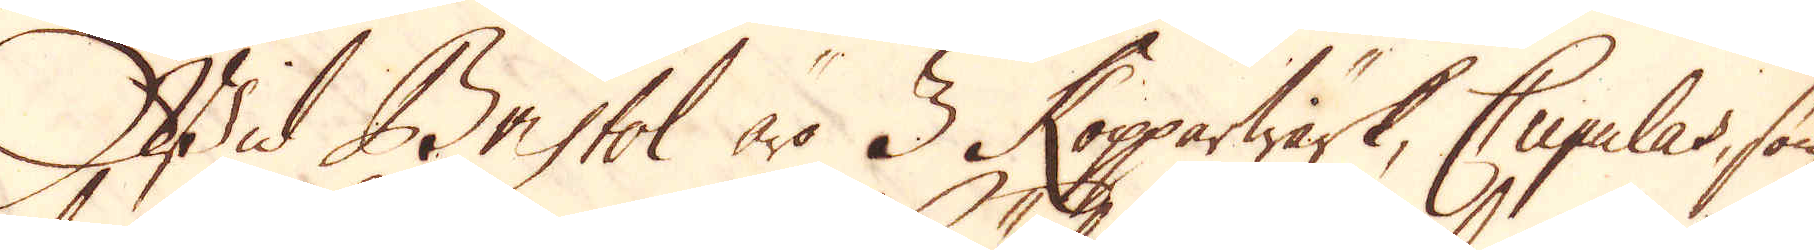Wid Bristol äro 3 Kopparwärk, Cupulas, som
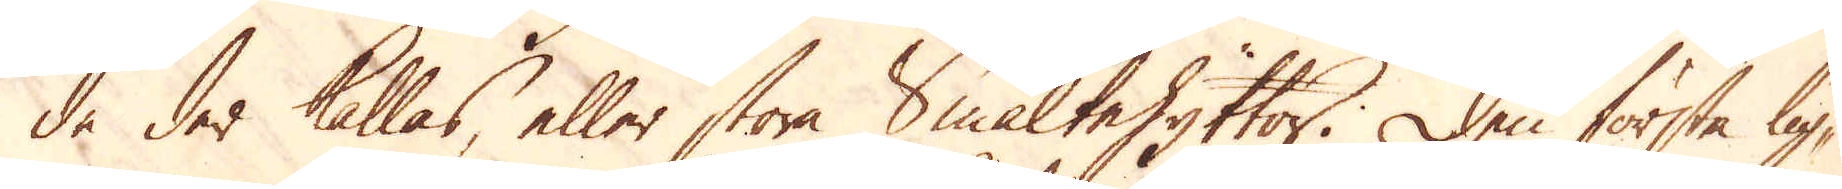de der kallas, eller stora Smältehyttor. Den första lig-
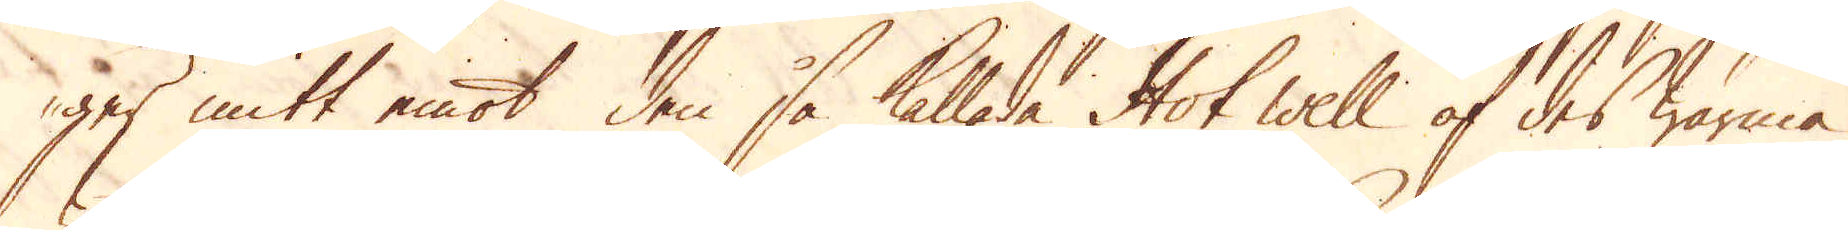ger mitt emot den så kallade Hot well af des warma
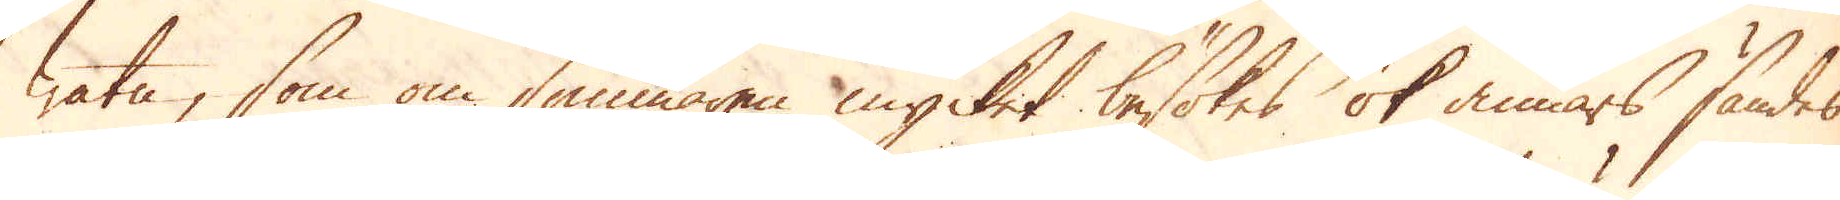watn, som om sommaren mycket besökes ok annars sändes
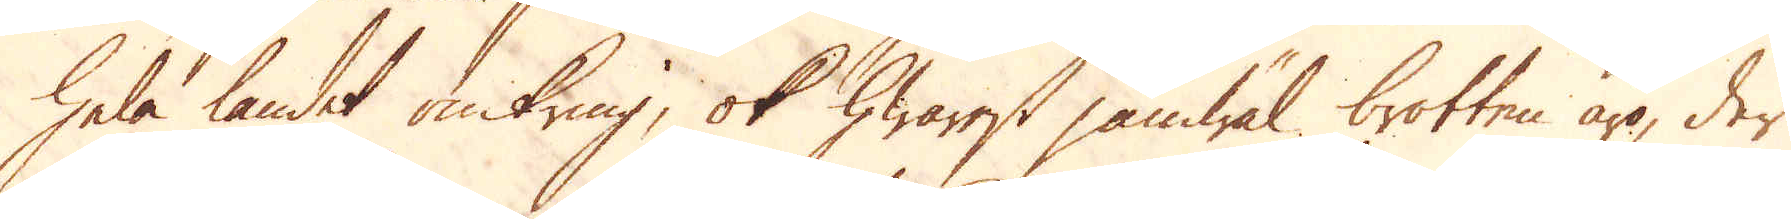hela landet omkring, ok hwarest jämwäl brotten äro, der
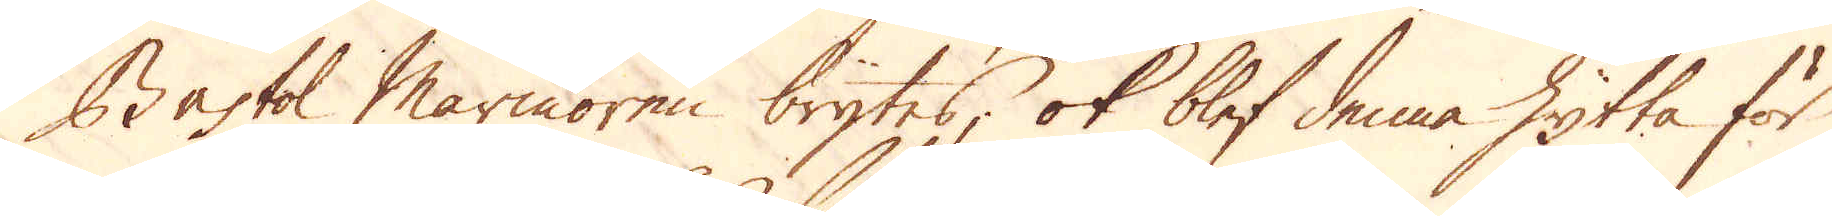Bristol Marmoren brytes; ok blef denna hytta för
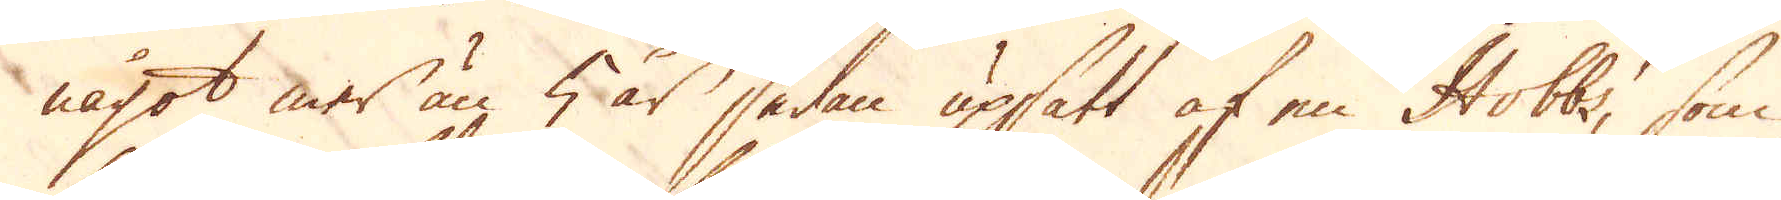något mer än 5 år sedan upsatt af en Hobbs, som
